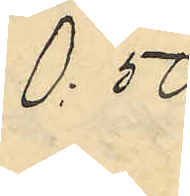0:50
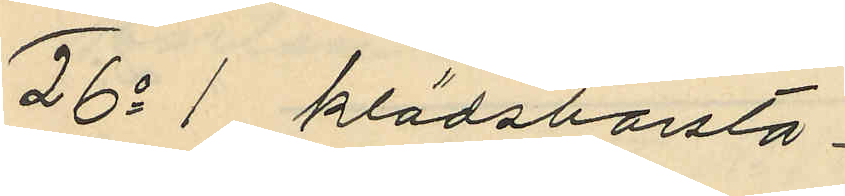26o 1 klädsborsta
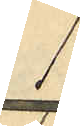1:
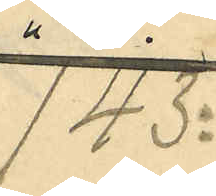143:
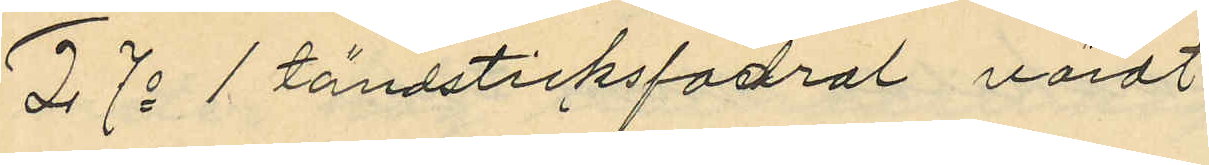27o 1 tändsticksfodral värdt
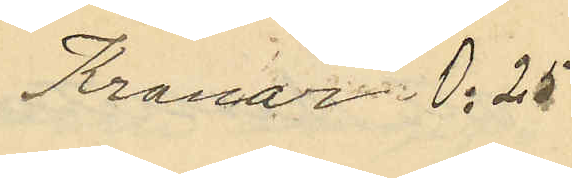Kronor 0:25
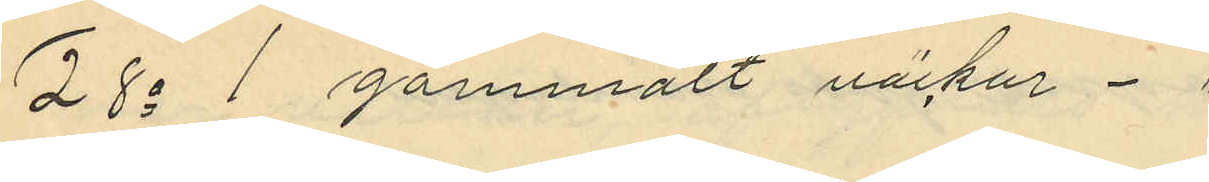28o 1 gammalt väckur "
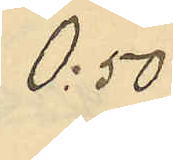0:50
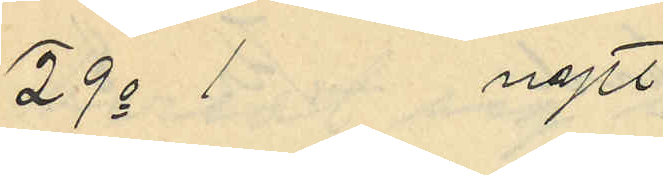29o 1 nytt 
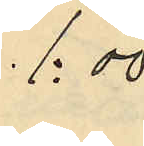1:00
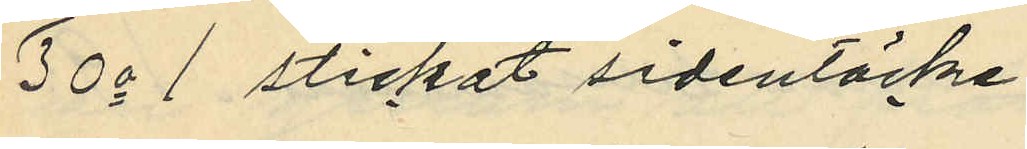30o 1 stickat sidentäcke
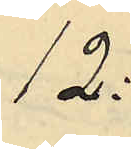12:
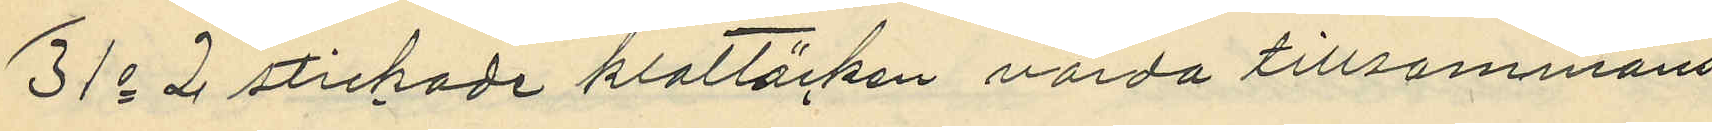31o 2 stickade klottäcken värda tillsammans
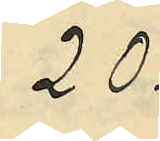20:
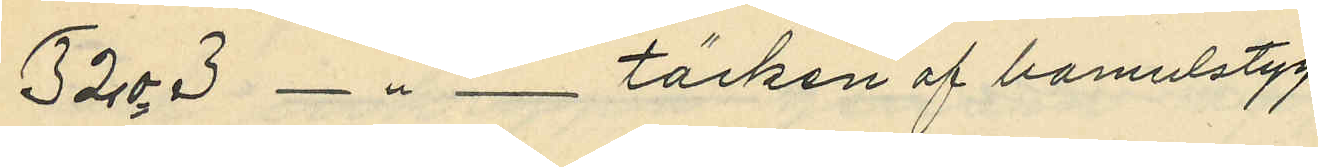32o 3 - " - täcken af bomulstyg
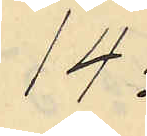14:
